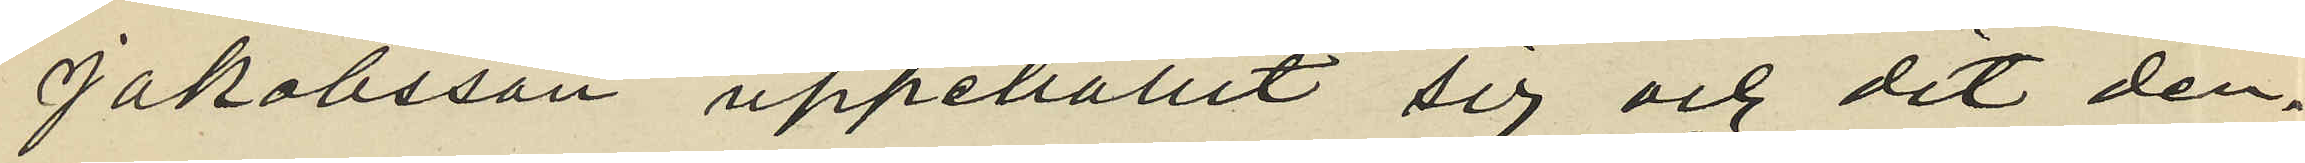Jakobsson uppehållit sig och det den¬
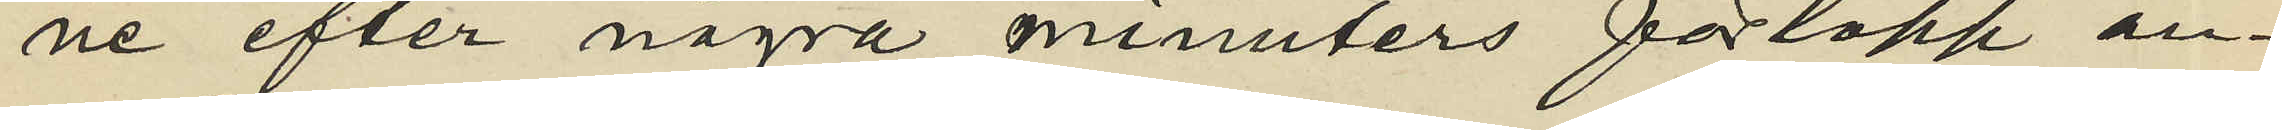ne efter några minuters förlopp an¬
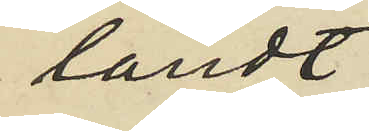ländt;
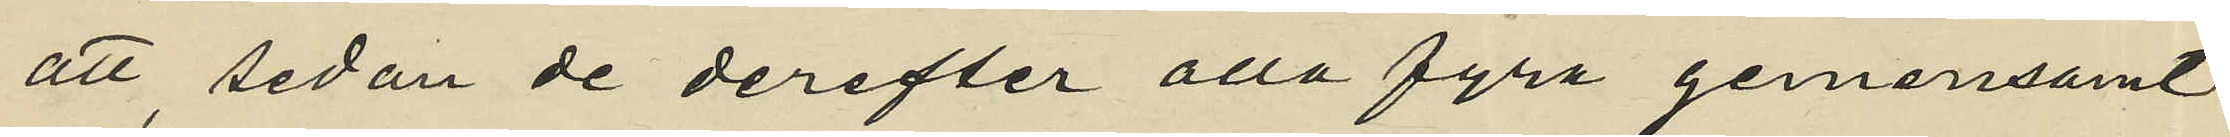att sedan de derefter alla fyra gemensamt
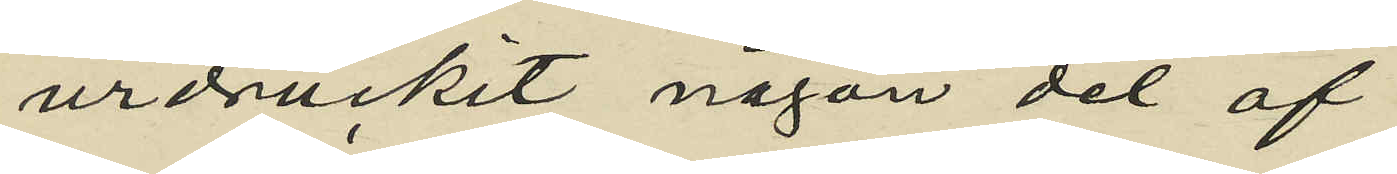urdruckit någon del af
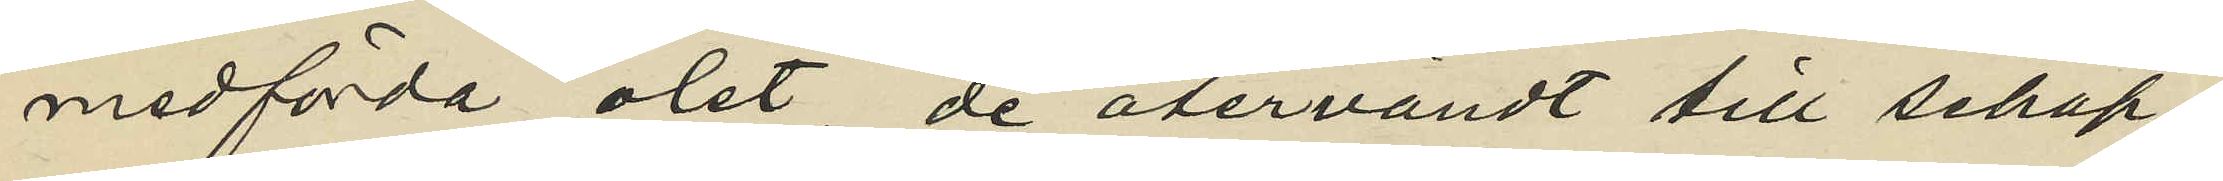medförda ölet, de återvändt till schap¬
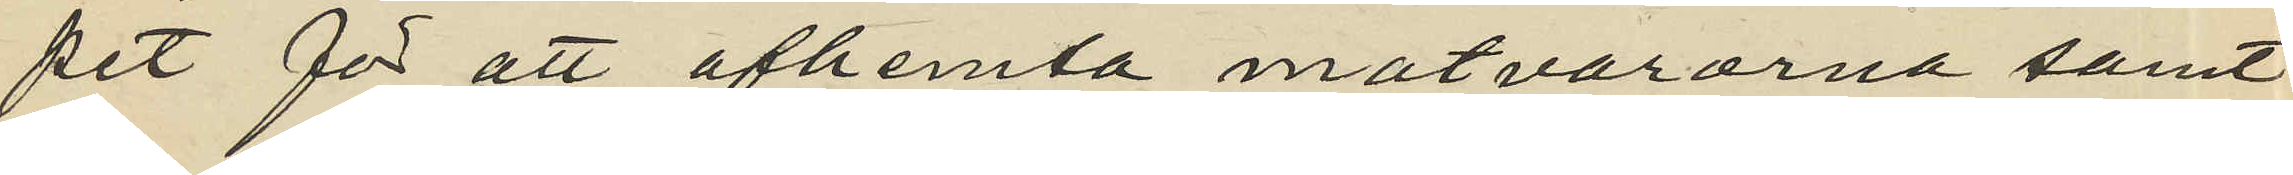pet för att afhemta matvarorna samt
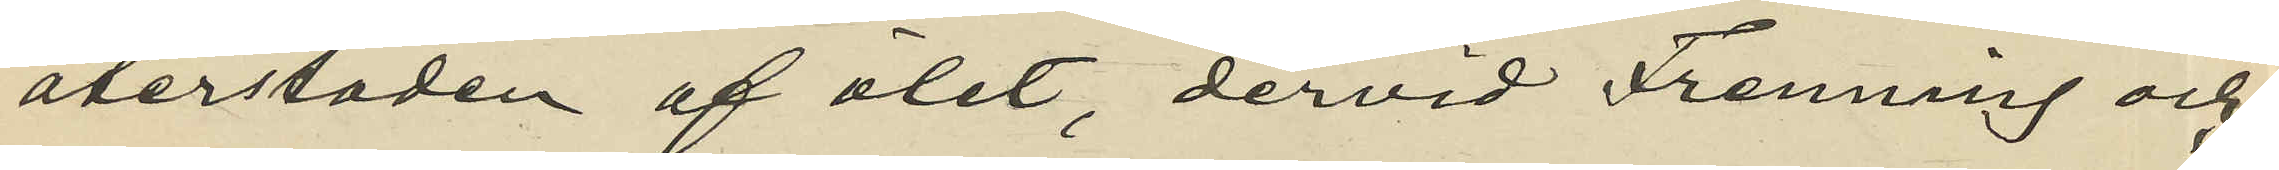återstoden af ölet, dervid Frenning och
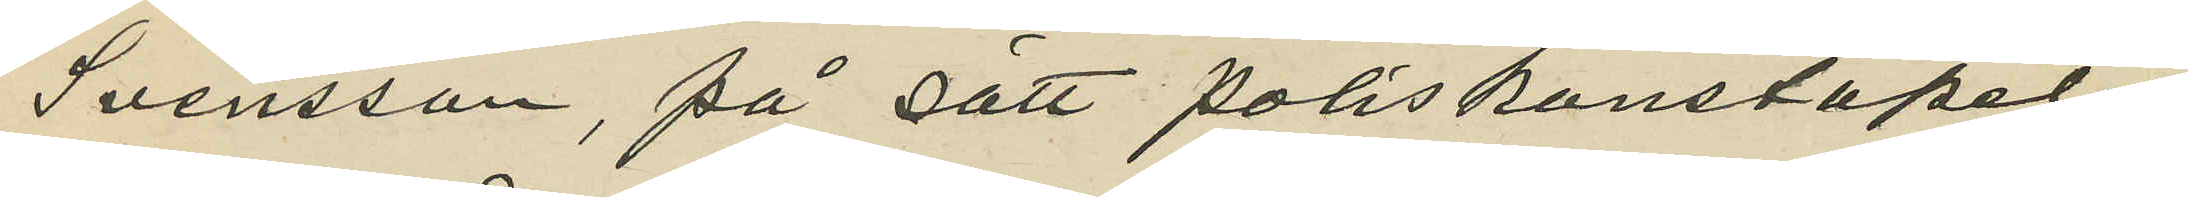Svensson, på sätt poliskonstapeln
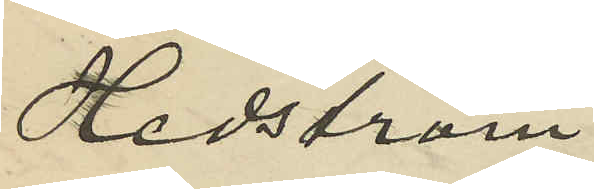Hedström.
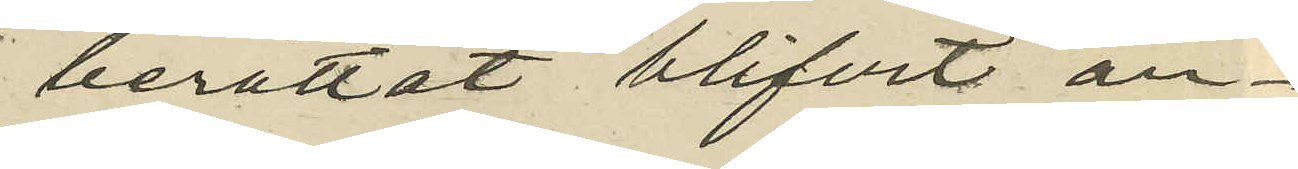berättat blifvit an¬
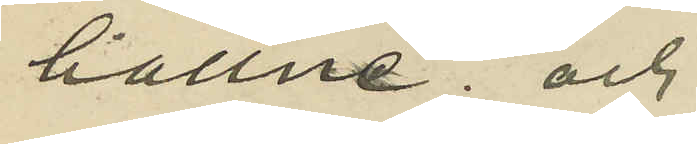hållne; och
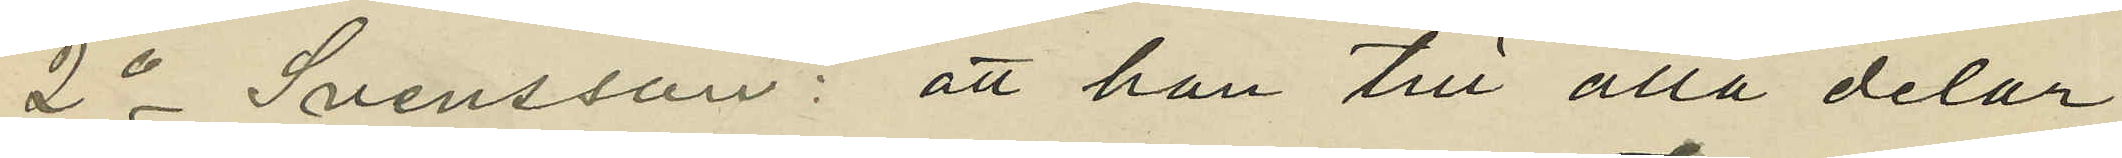2o Svensson: att han till alla delar
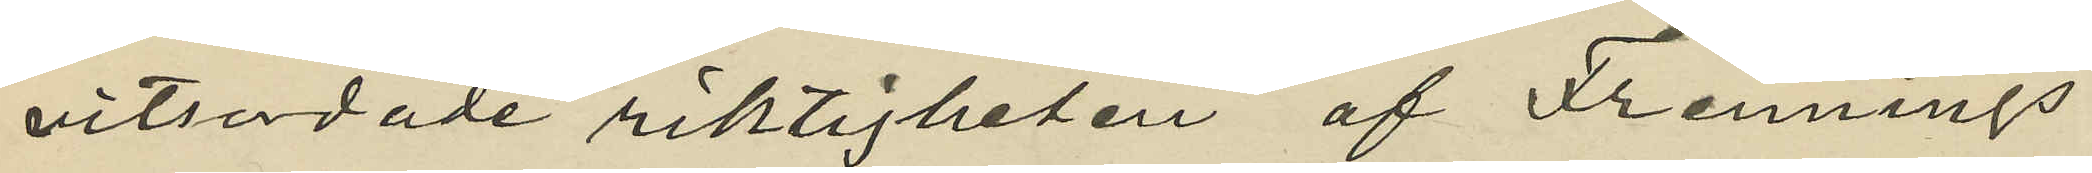vitsordade riktigheten af Frennings
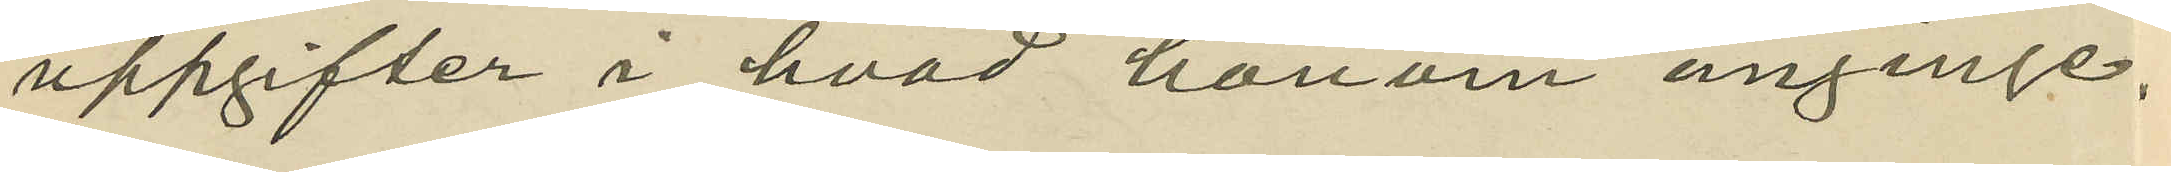uppgifter i hvad honom anginge
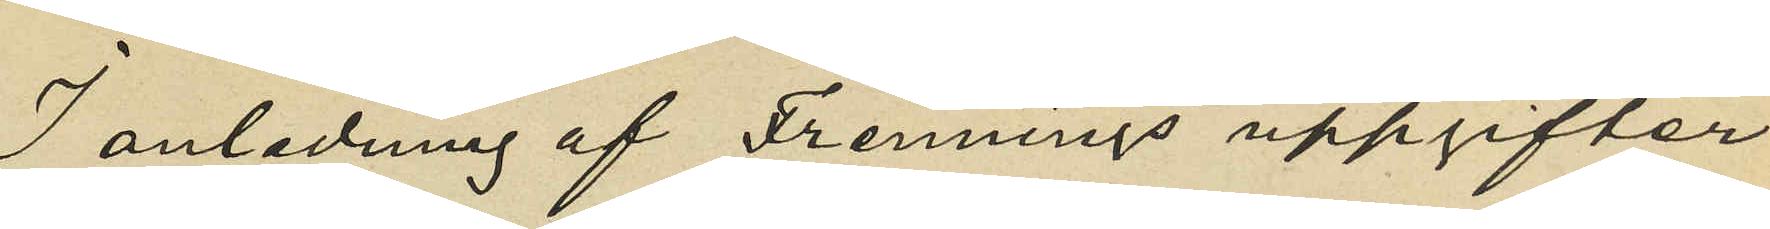I anledning af Frennings uppgifter
